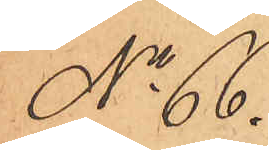No 66.
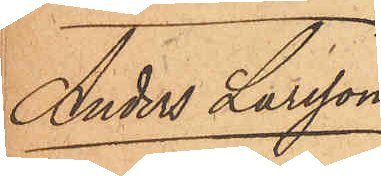Anders Larsson.
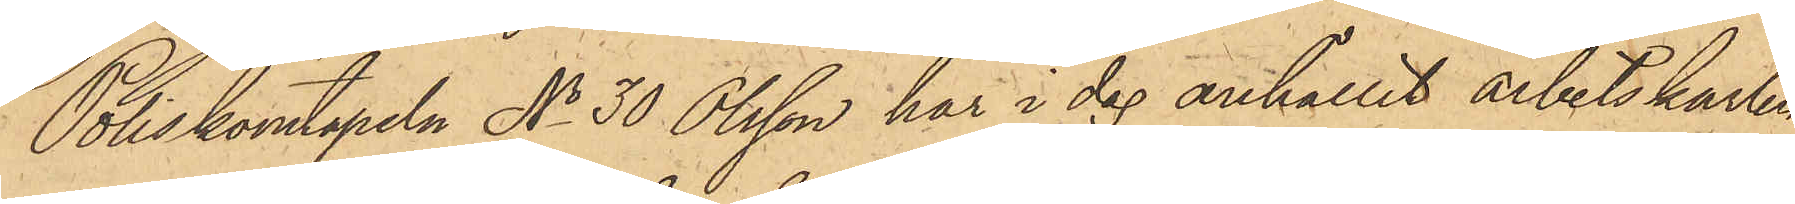Poliskonstapeln No 30 Olsson har i dag anhållit arbetskarlen
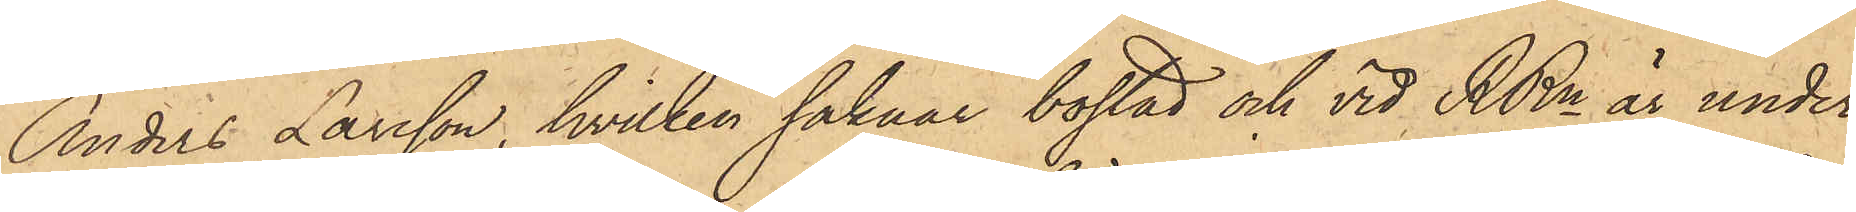Anders Larsson, hvilken saknar bostad och vid RRn är under
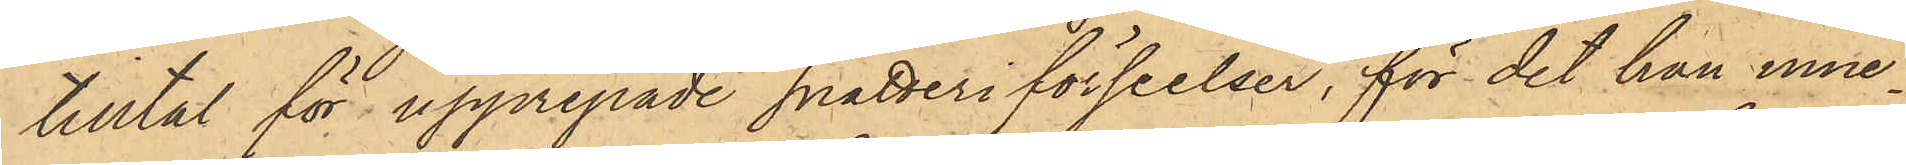tilltal för upprepade snatteriförseelser, för det han inne¬
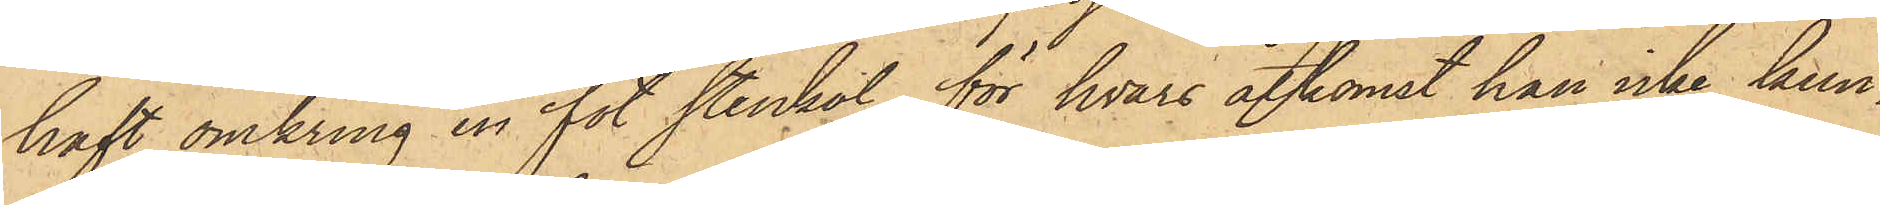haft omkring en fot stenkol, för hvars åtkomst han icke kun¬
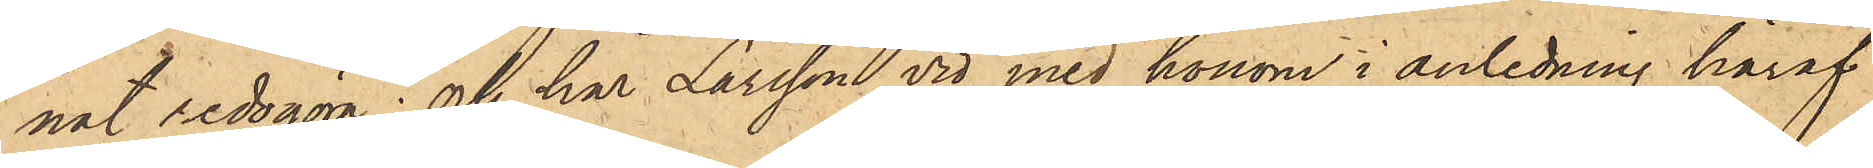nat redogöra; och har Larsson vid med honom i anledning häraf
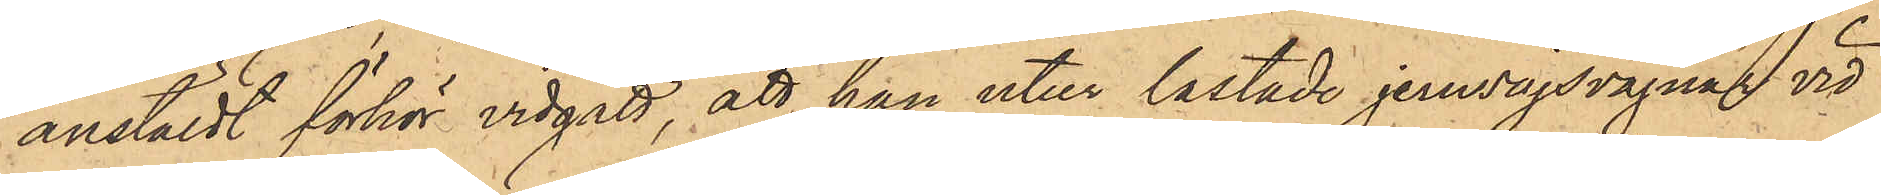anstäldt förhör vidgått, att han utur lastade jernvägsvagnar vid
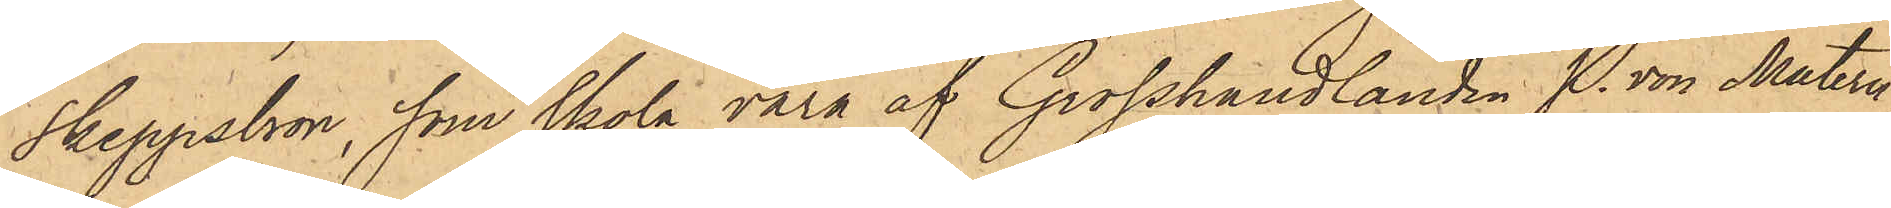Skeppsbron, som skola vara af Grosshandlanden P. von Matern
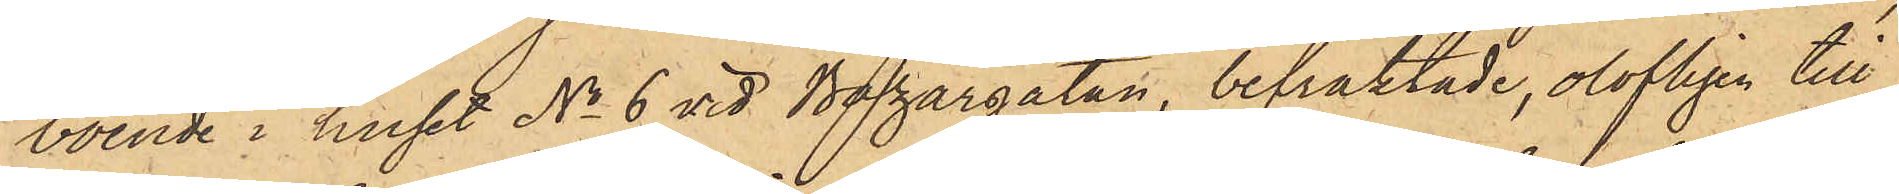boende i huset No 6 vid Bazargatan, befraktade, olofligen till
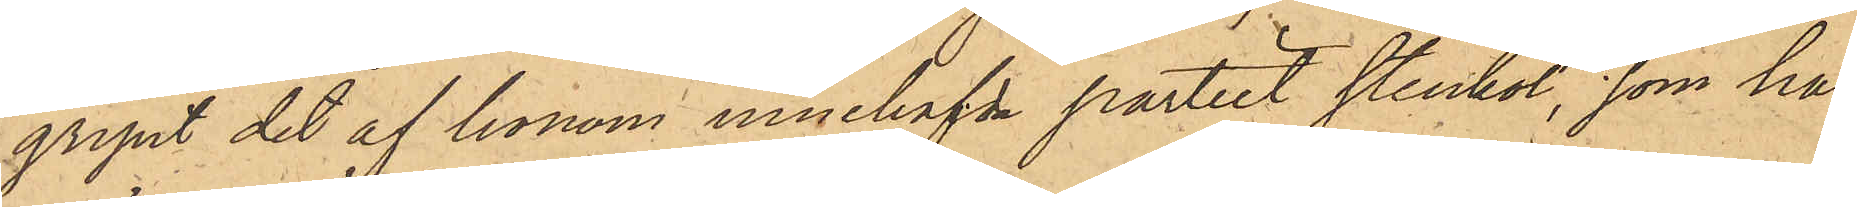gripit det af honom innehafde partiet stenkol, som han
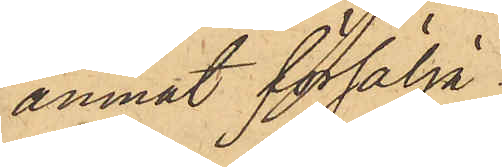ämnat försälja.
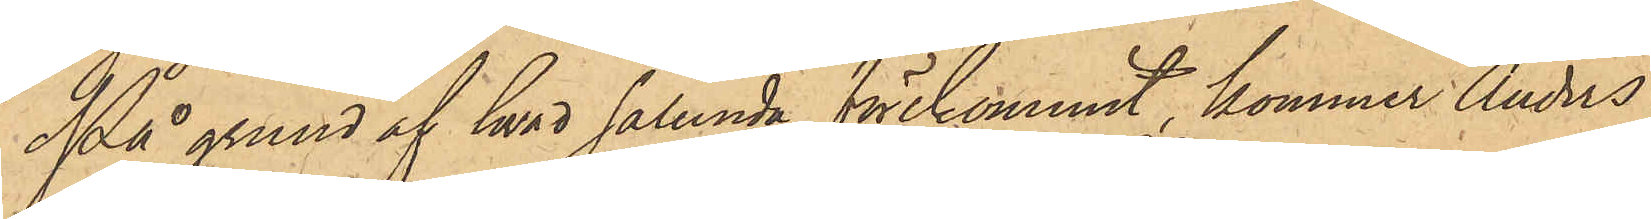På grund af hvad sålunda förekommit, kommer Anders
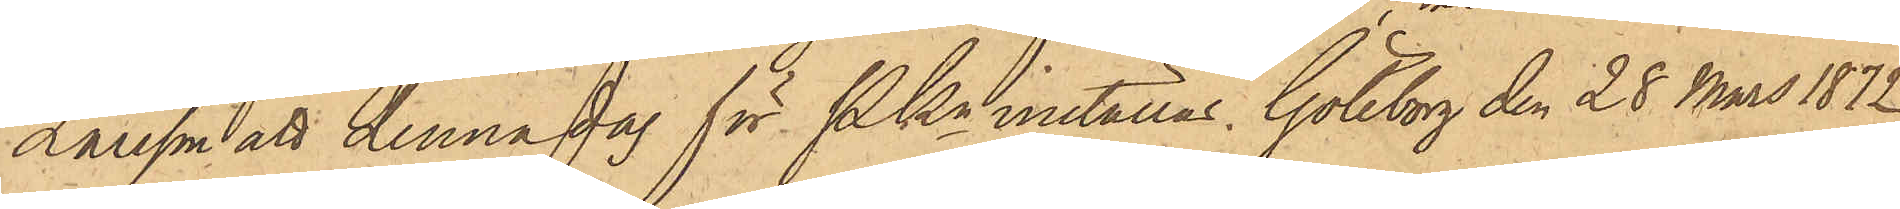Larsson att denna dag för Pkn inställas. Göteborg den 28 Mars 1872
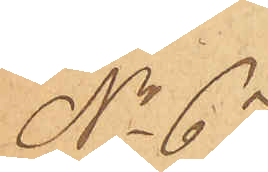No 64
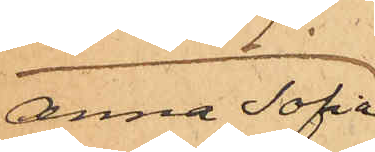Anna Sofia
